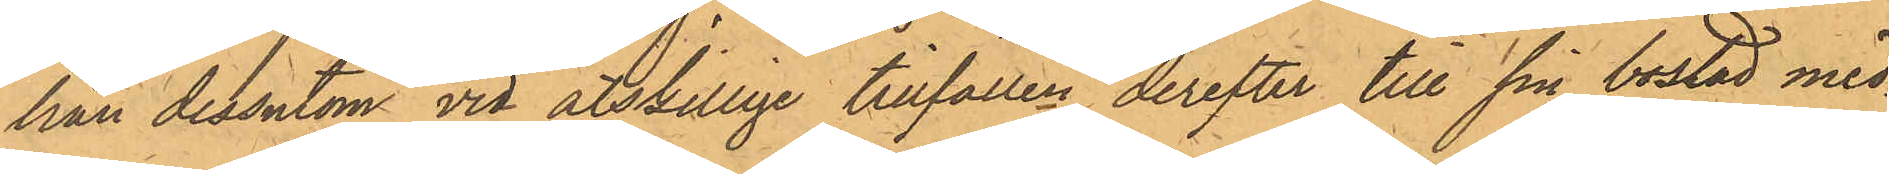han dessutom vid åtskillige tillfällen derefter till sin bostad med¬
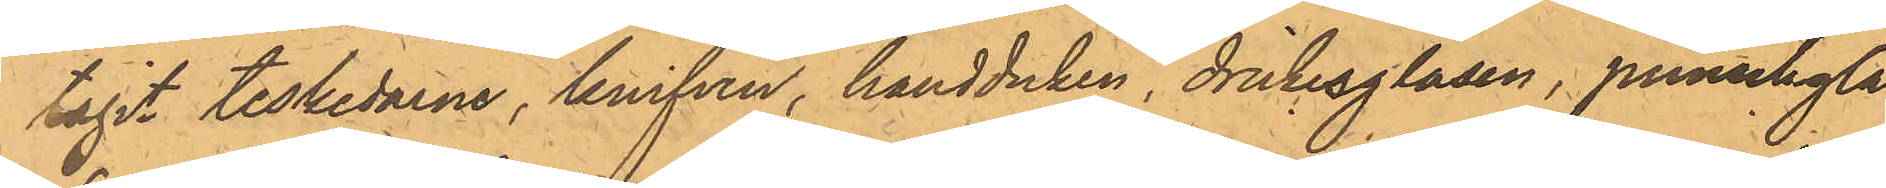tagit teskedarne, knifven, handduken, dricksglasen, punschgla¬
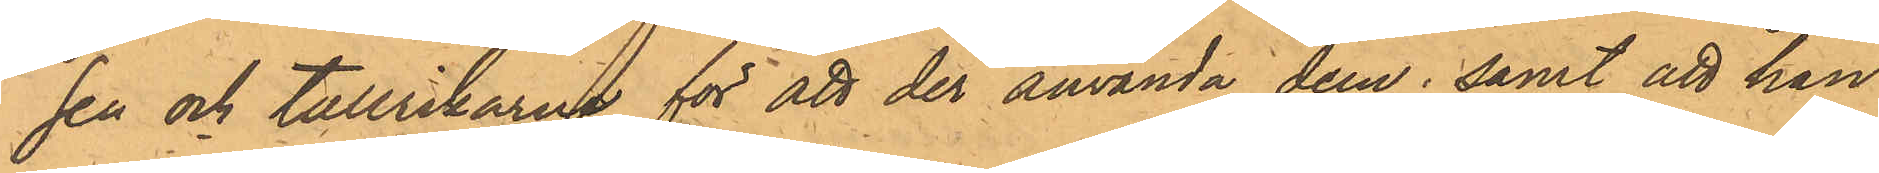sen och tallrikarna för att der använda dem; samt att han
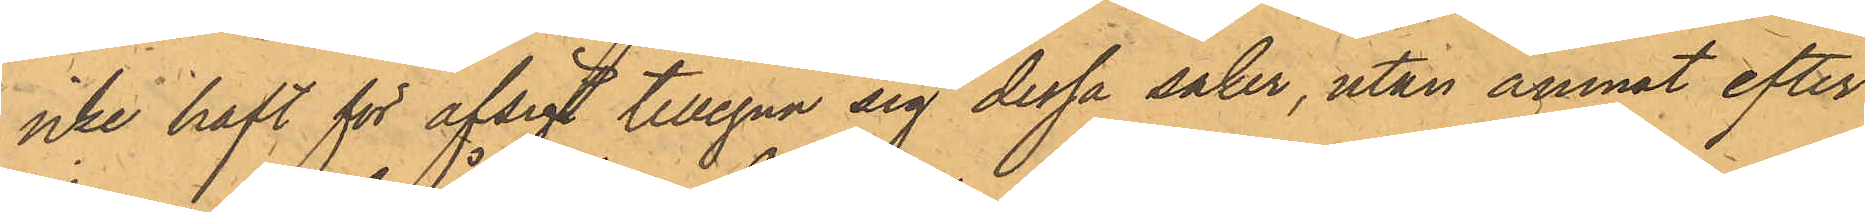icke haft för afsigt tillegna sig dessa saker, utan ämnat efter
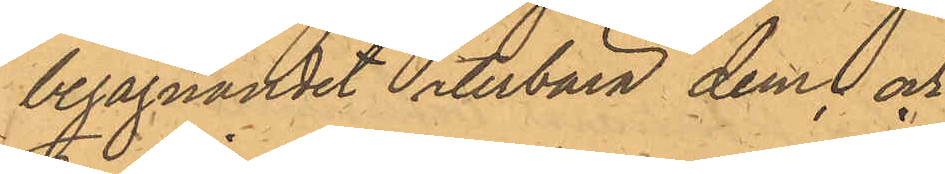begagnandet återbära dem och
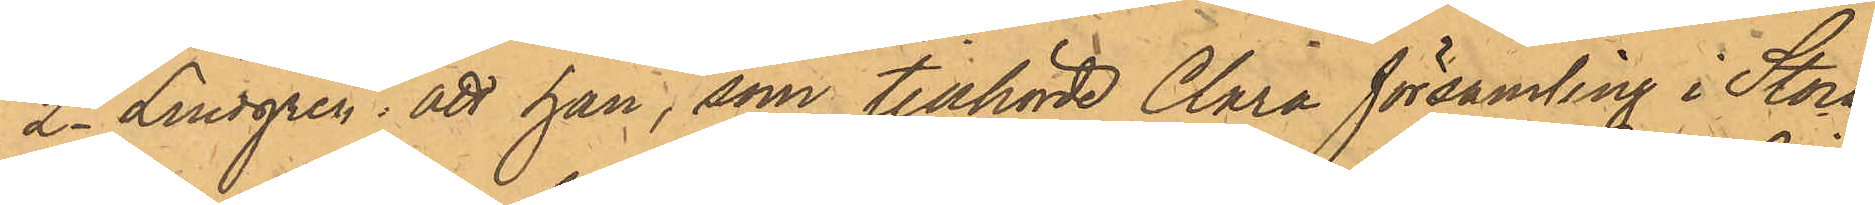2o Lindgren; att han, som tillhörde Clara församling i Stock¬
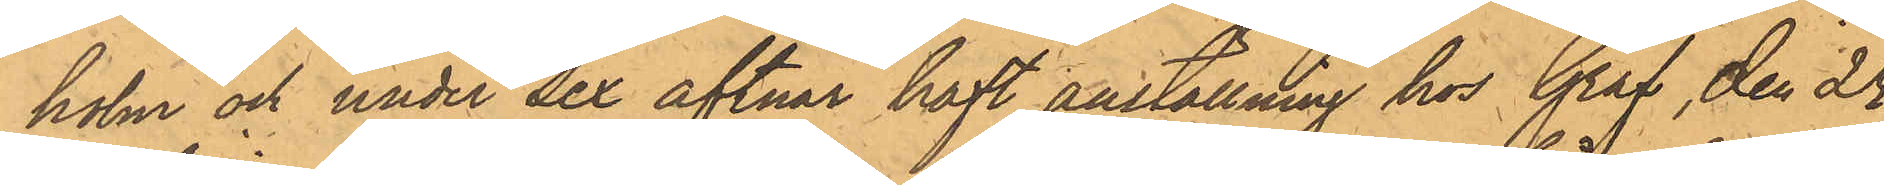holm och under sex aftnar haft anställning hos Graf, den 24
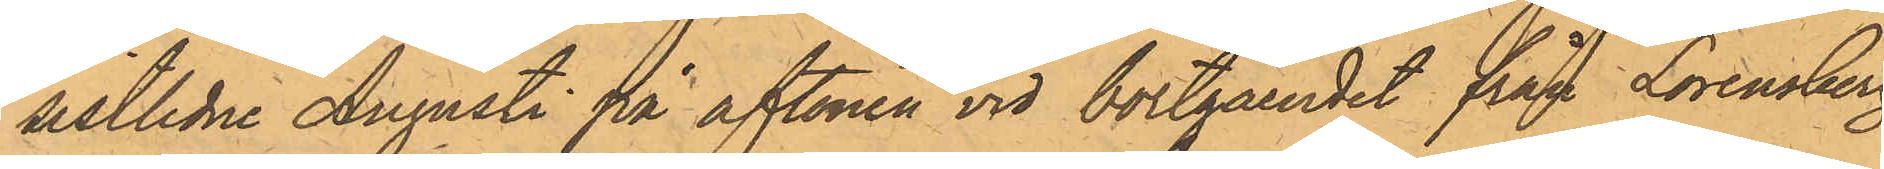sistlidne Augusti på aftonen vid bortgåendet från Lorensberg
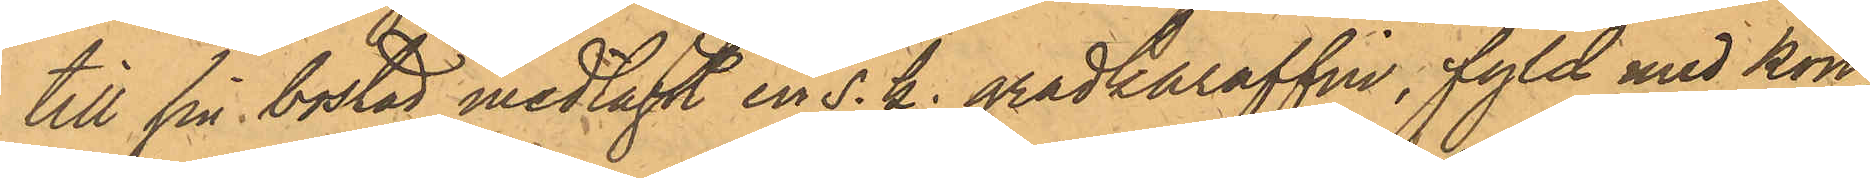till sin bostad medtagit en s. k. gradkaraffin, fyld med kon¬
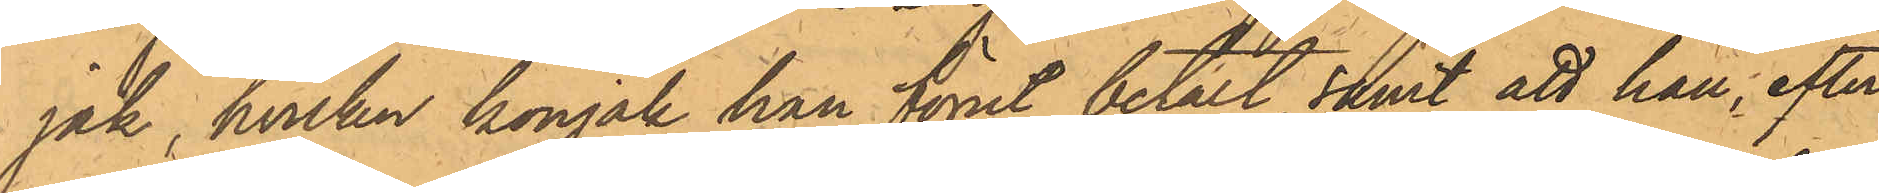jak, hvilken konjak han förut betalt samt att han, efter
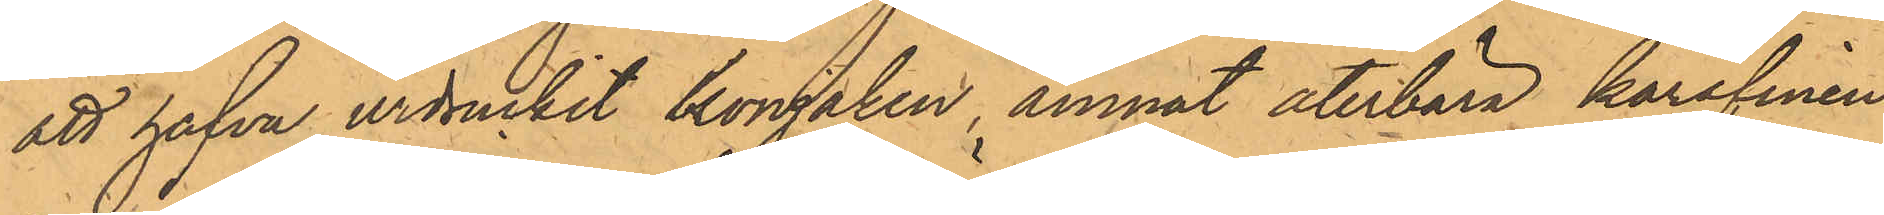att hafva urdruckit konjaken, ämnat återbära karafinen
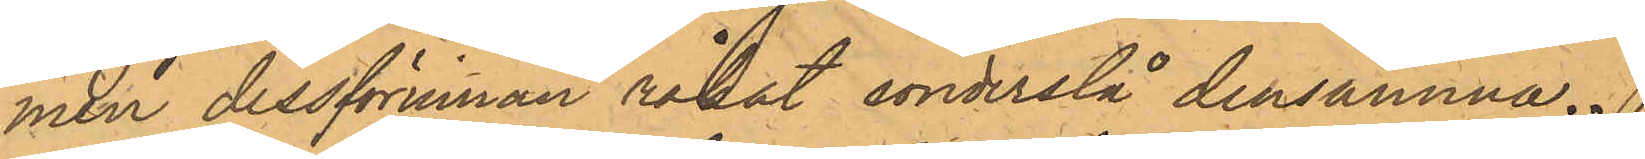men dessförinnan råkat sönderslå densamma.
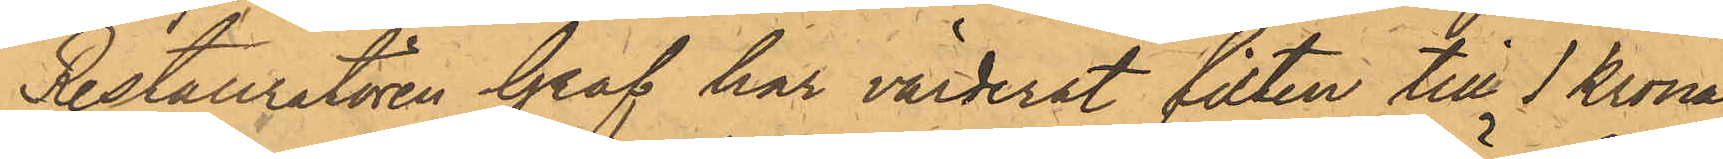Restauratören Graf har värderat filten till 1 Krona
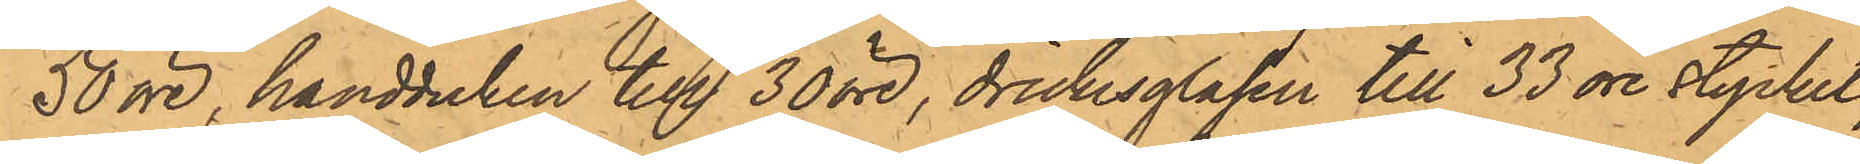50 öre, handduken till 30 öre, drickesglasen till 33 öre stycket
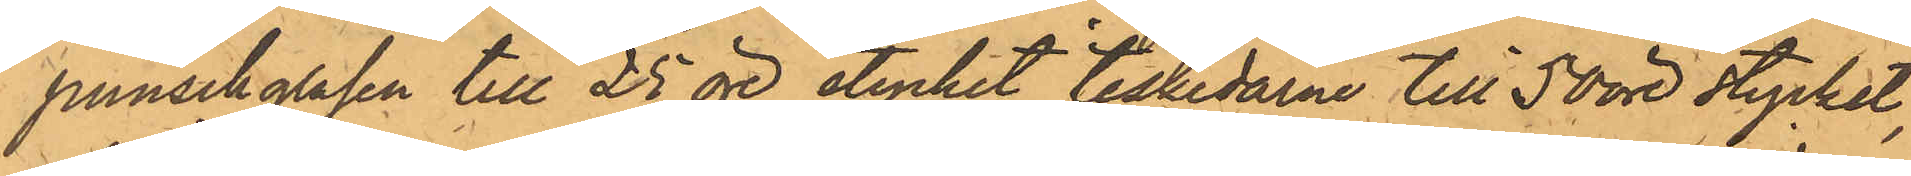punschglasen till 25 öre stycket, teskedarne till 50 öre stycket,
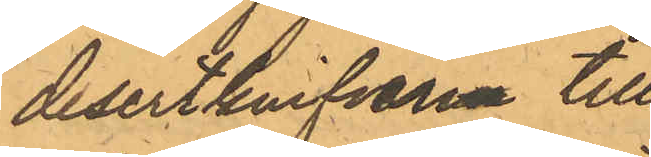desertknifvarne till
